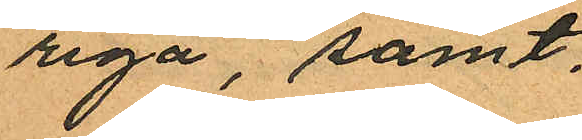riga, samt
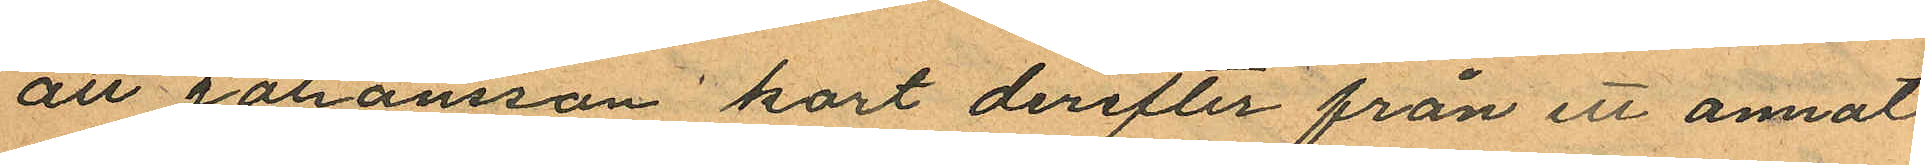att Johansson kort derefter från ett annat
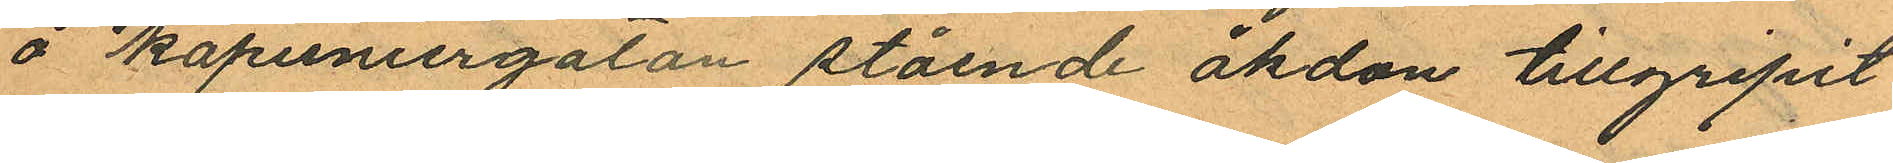å Kapuniergatan stående åkdon tillgripit
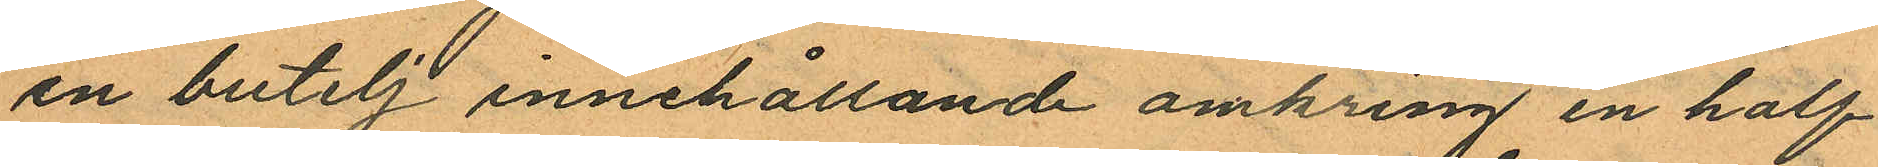en butelj innehållande omkring en half
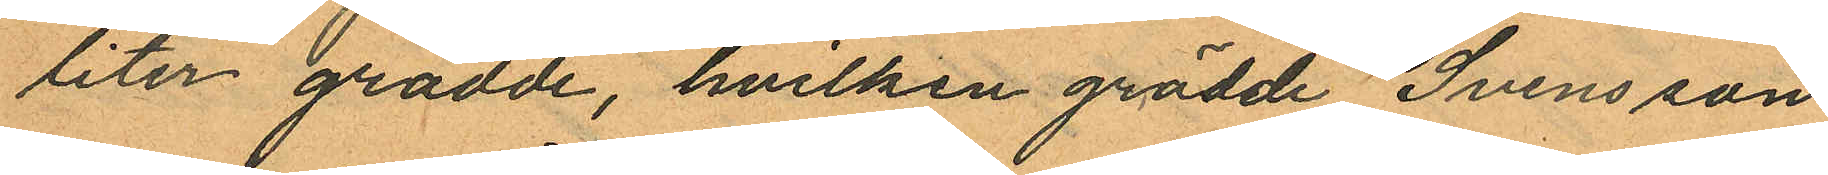liter grädde, hvilken grädde Svensson
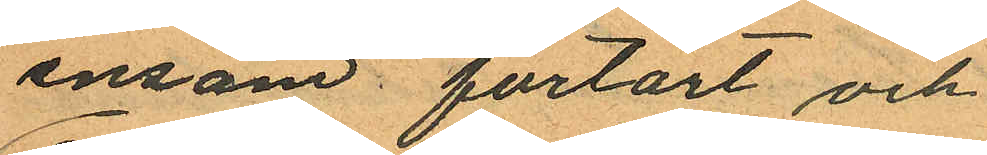ensam förtärt och
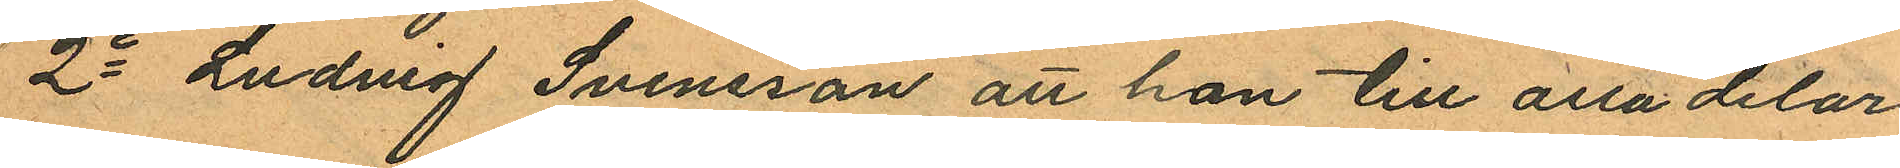2o Ludvig Svensson att han till alla delar
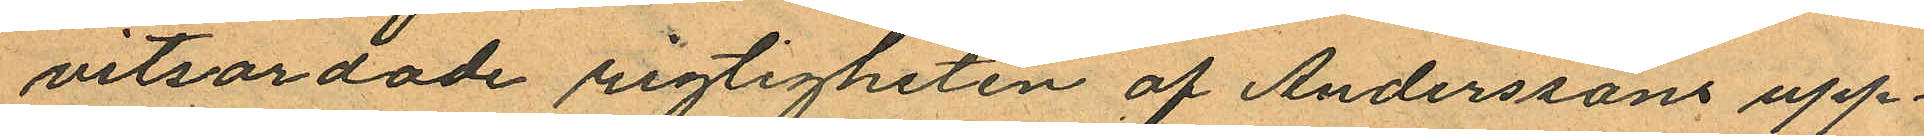vitsordade rigtigheten af Anderssons upp¬
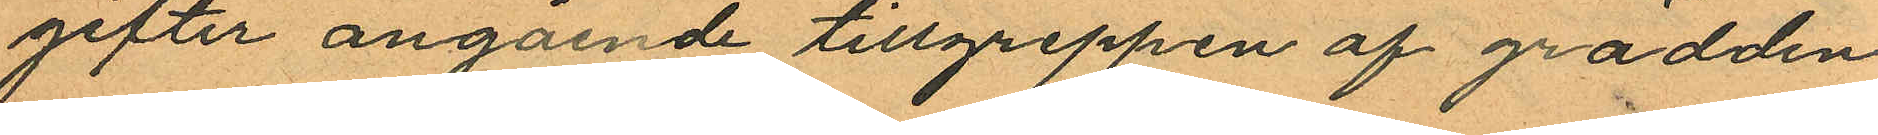gifter angående tillgreppen af grädden
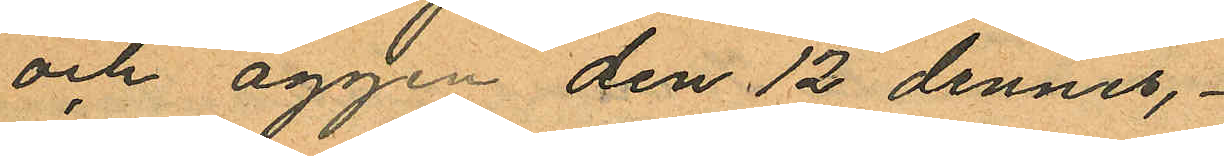och äggen den 12 dennes,
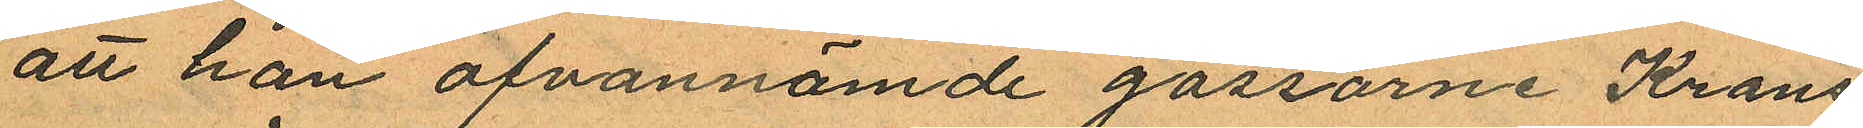att han ofvannämde gossarne Krans
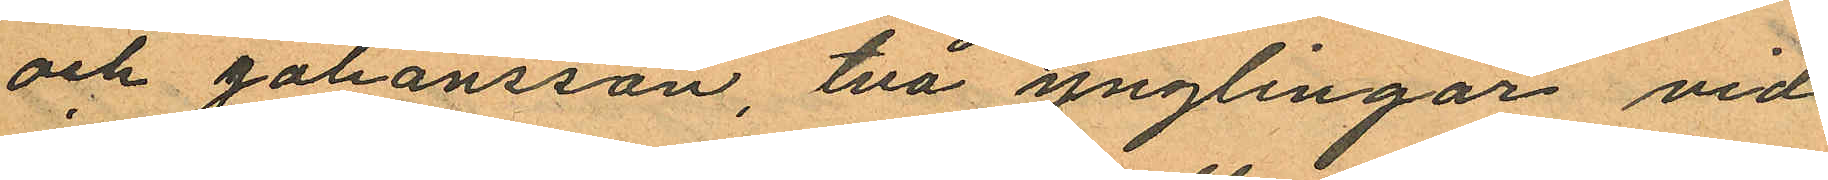och Johansson, två ynglingar vid
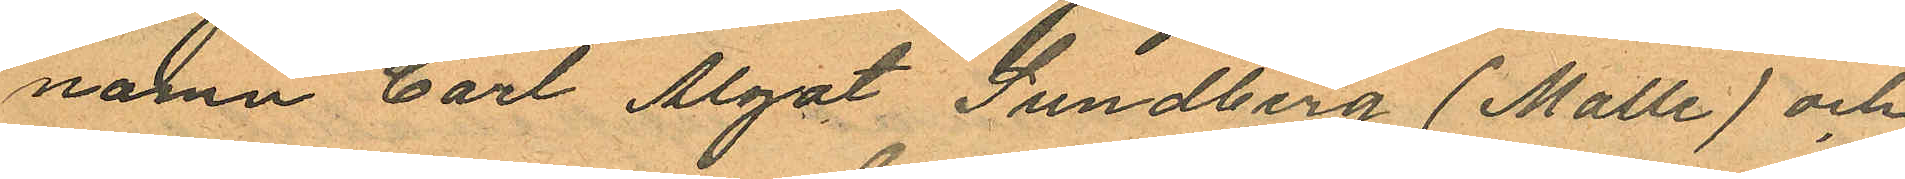namn Carl Algot Sundberg (Malle) och
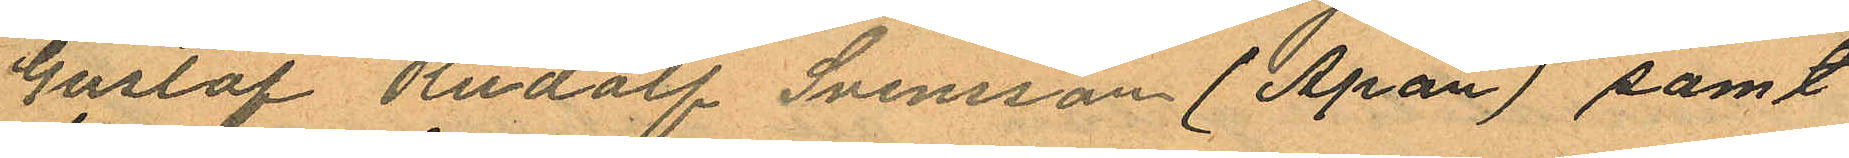Gustaf Rudolf Svensson (Apan) samt
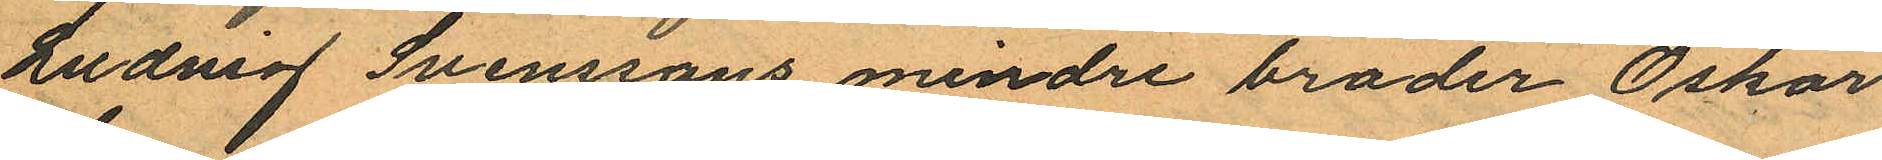Ludvig Svenssons mindre broder Oskar
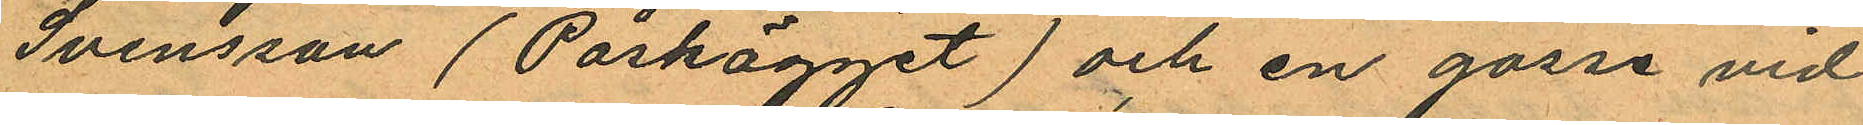Svensson (Påskägget) och en gosse vid
